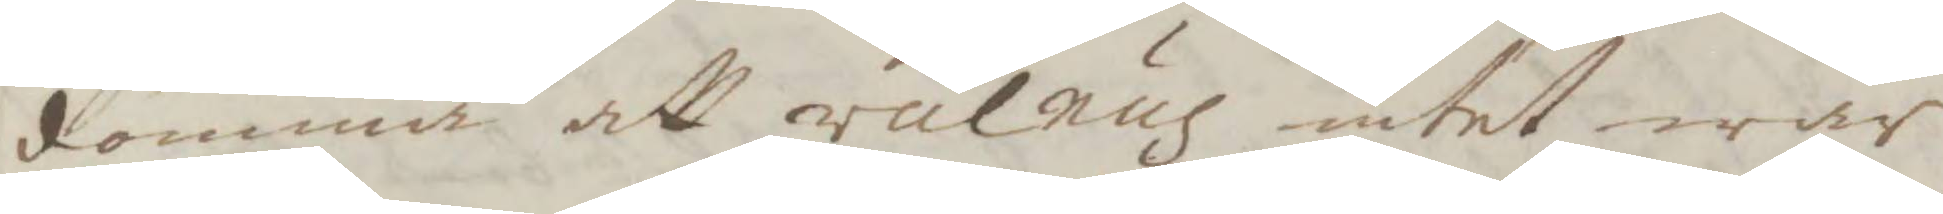dömma att vulnus intet war
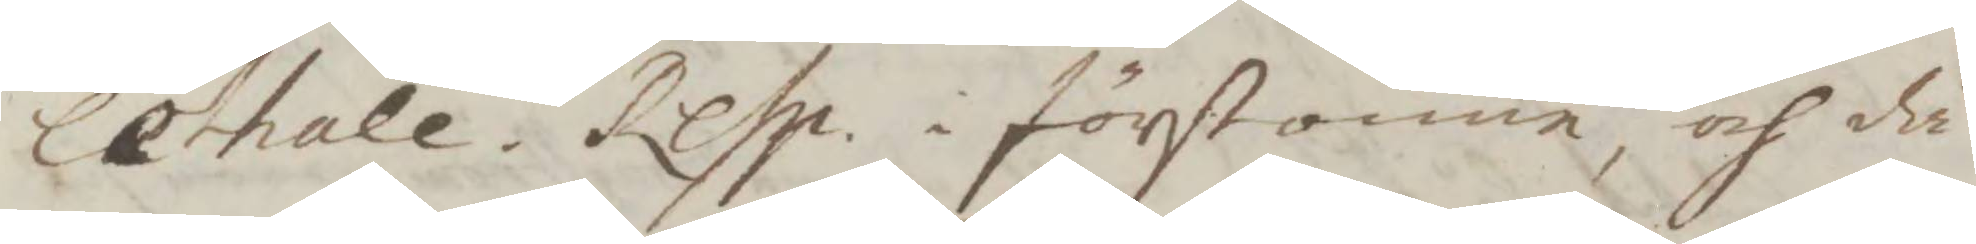lethale, Resp. i förstonne, och då
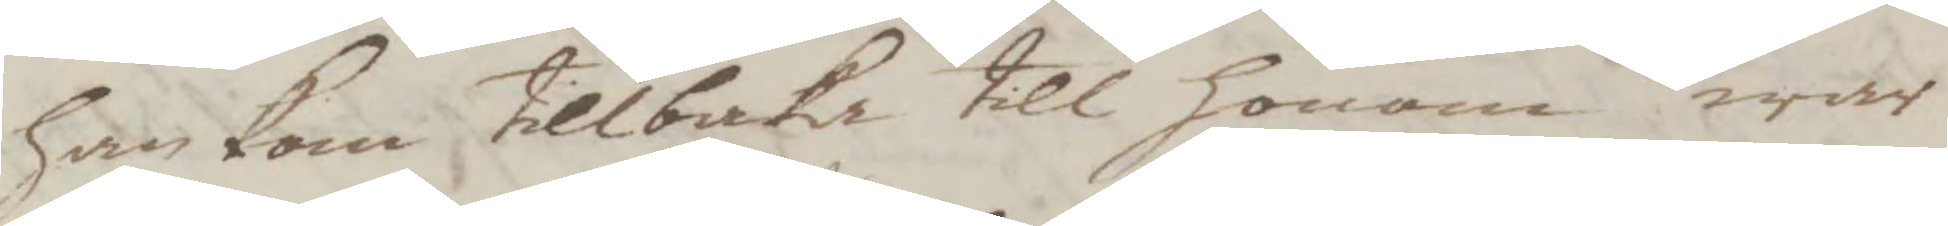han kom tillbaka till honom war
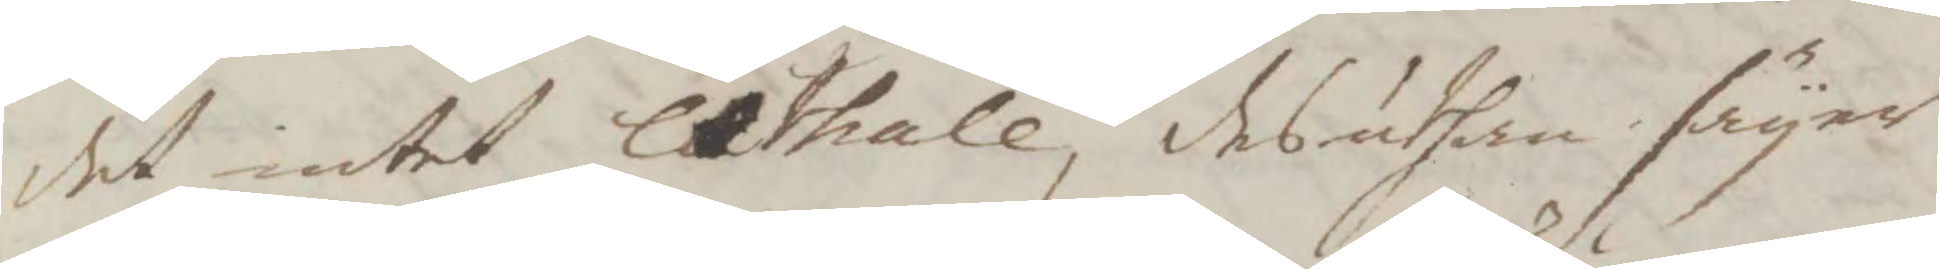det intet lethale, desuthan säyer
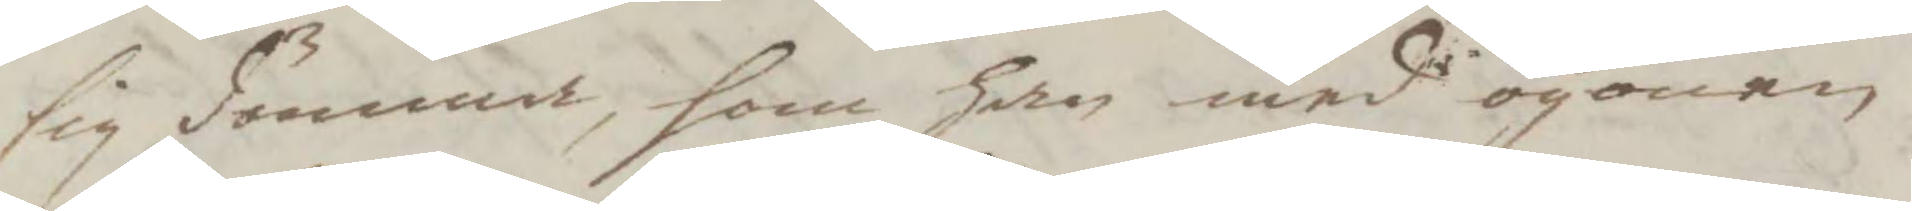sig dömma, som han med ögonen
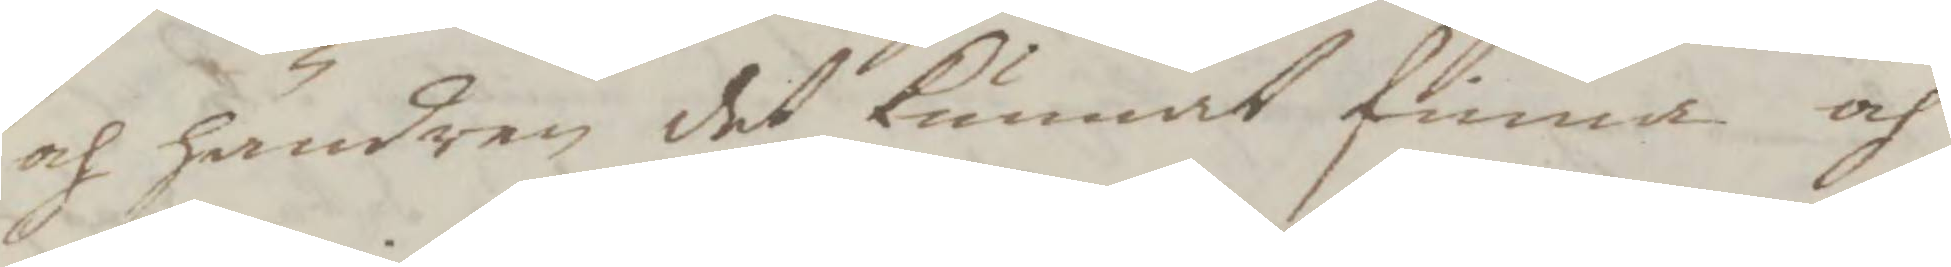och händren det kunnat finna och
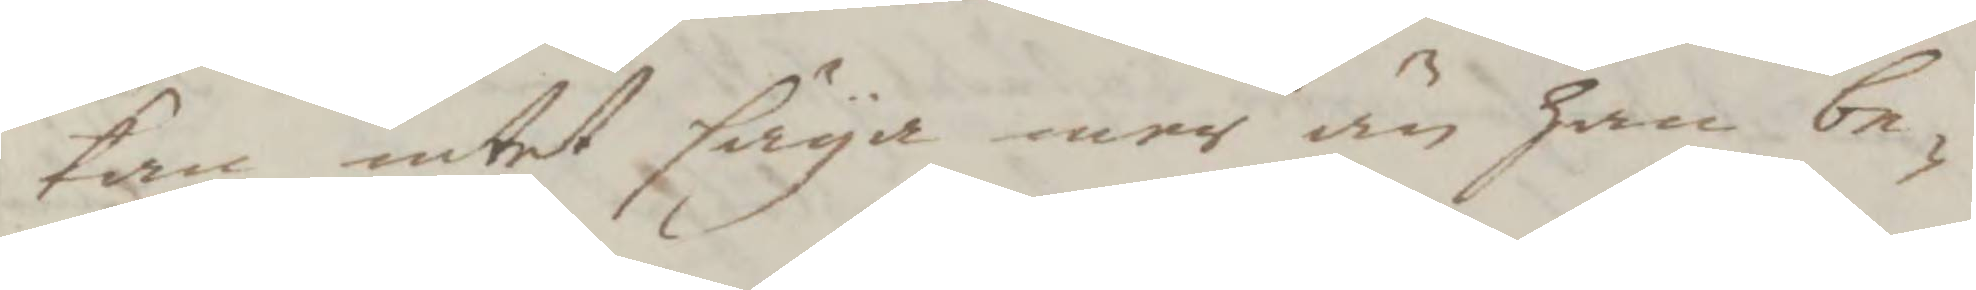kan intet säya mer än han be¬
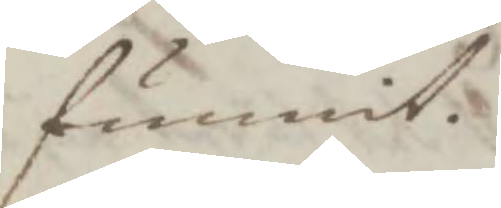funnit.
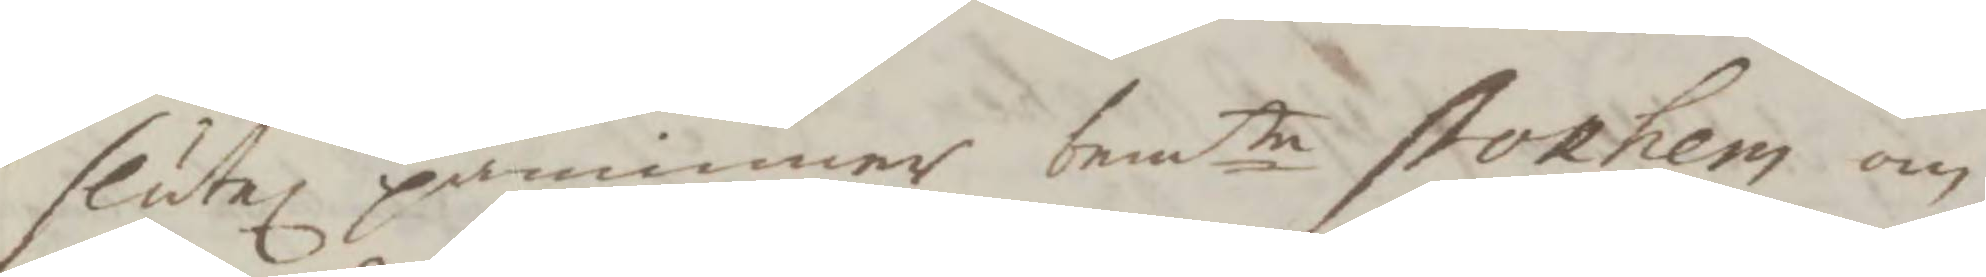slutel påminner bemte stokhem om
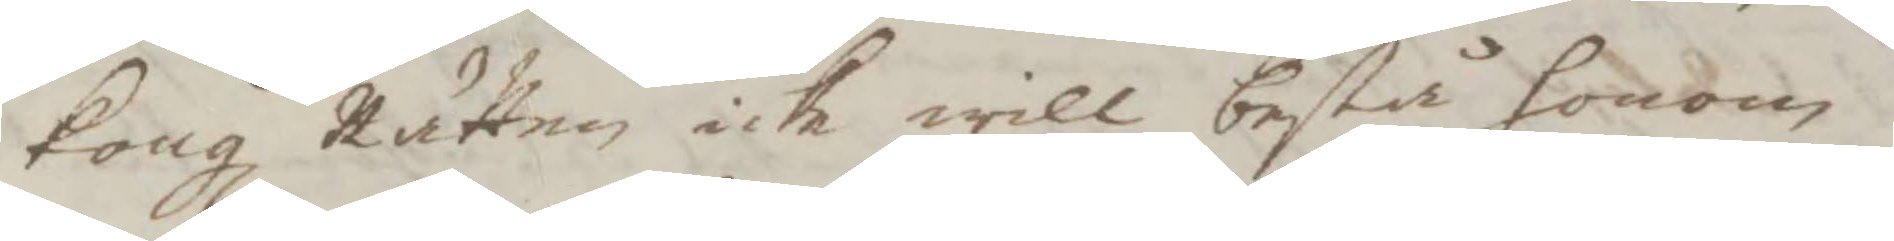Kongl Rätten icke will bestå honom
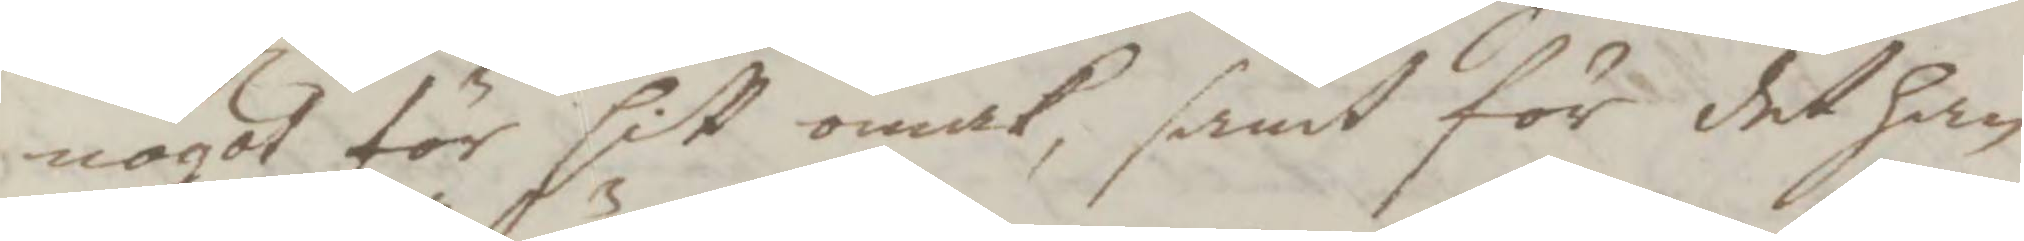något för sitt omak, samt för det han
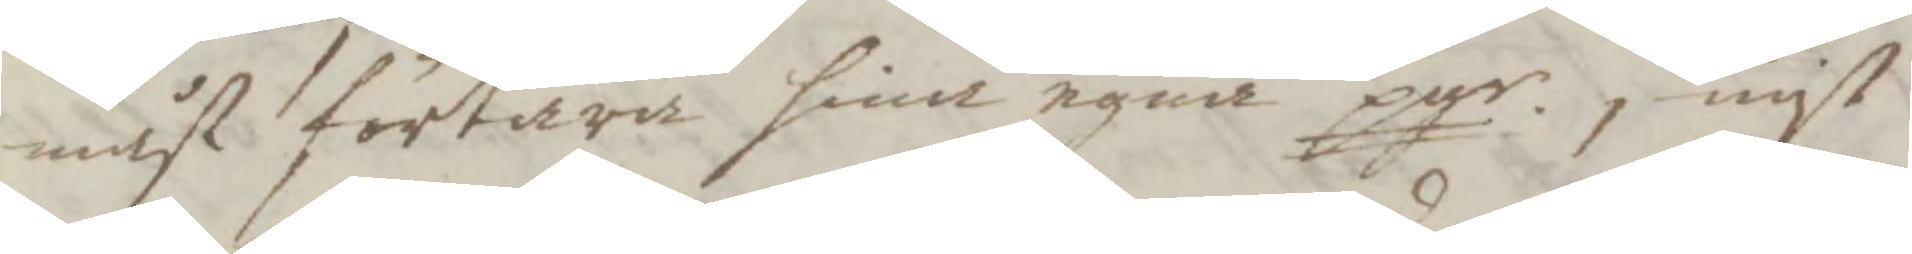måst förtära sina egna pgr, nyt
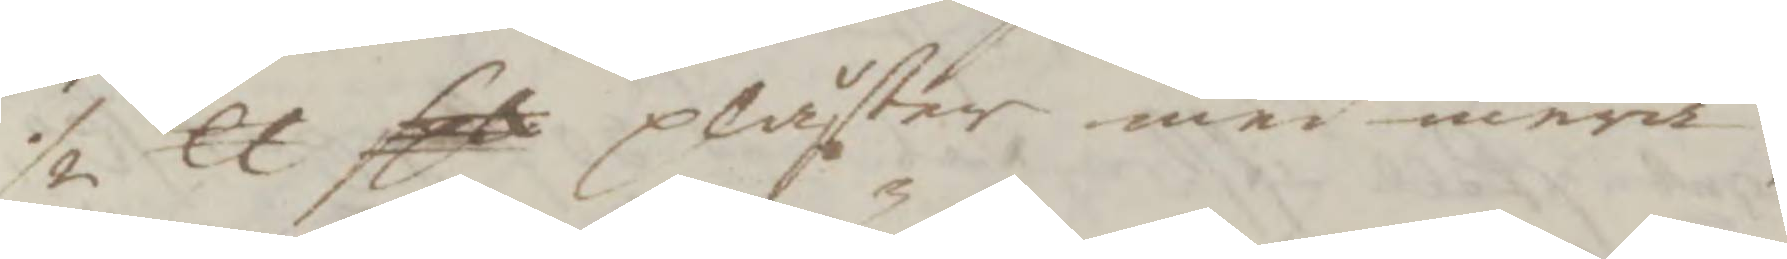½ lt sex plåtar med mera,
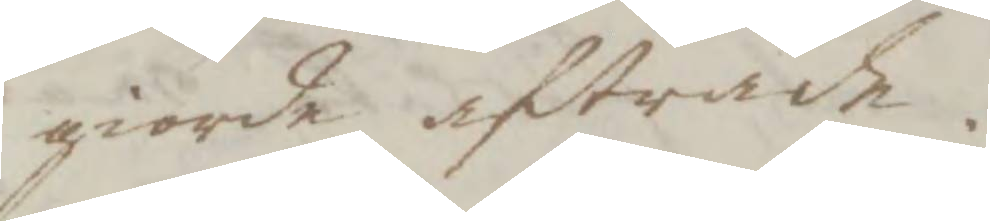giorde afträde.
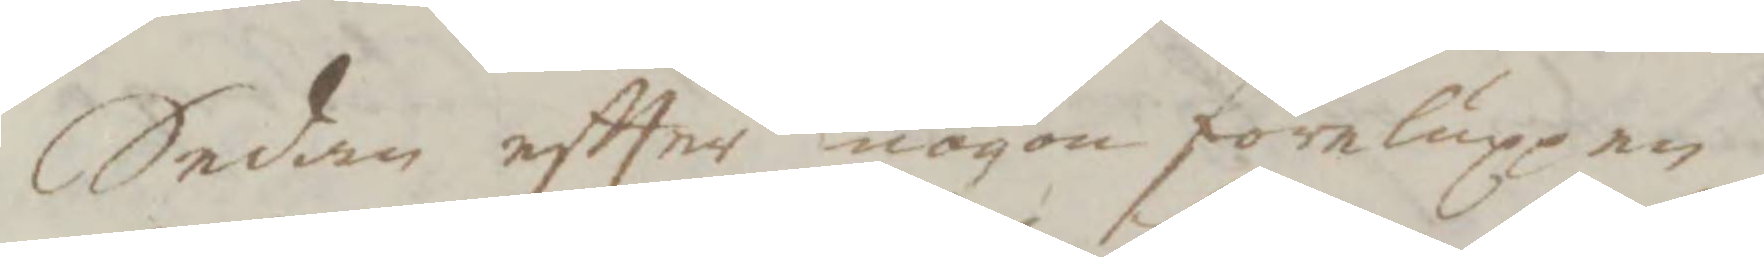Sedan eftter nogon förluppen
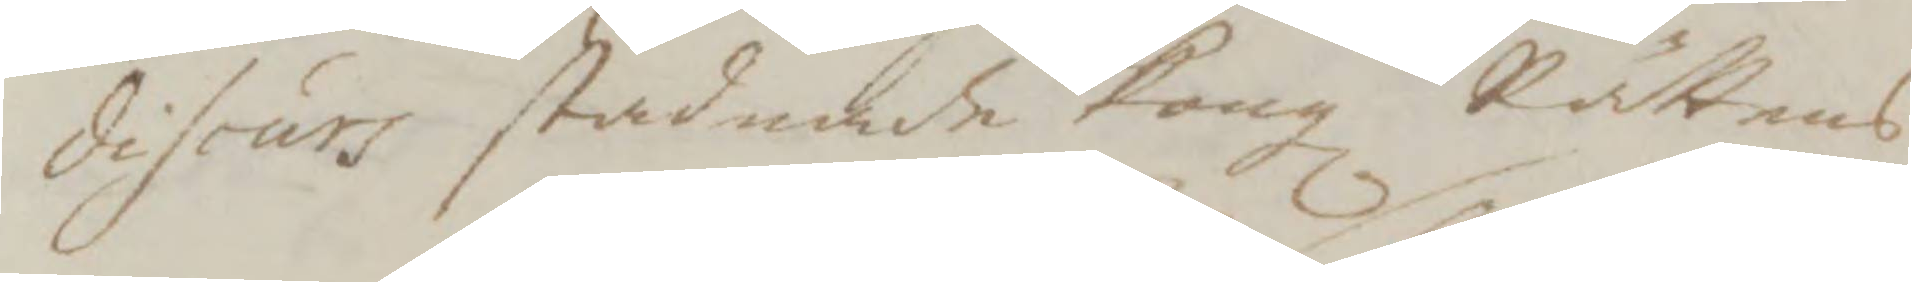discurs stadnade Kongl Rättens
